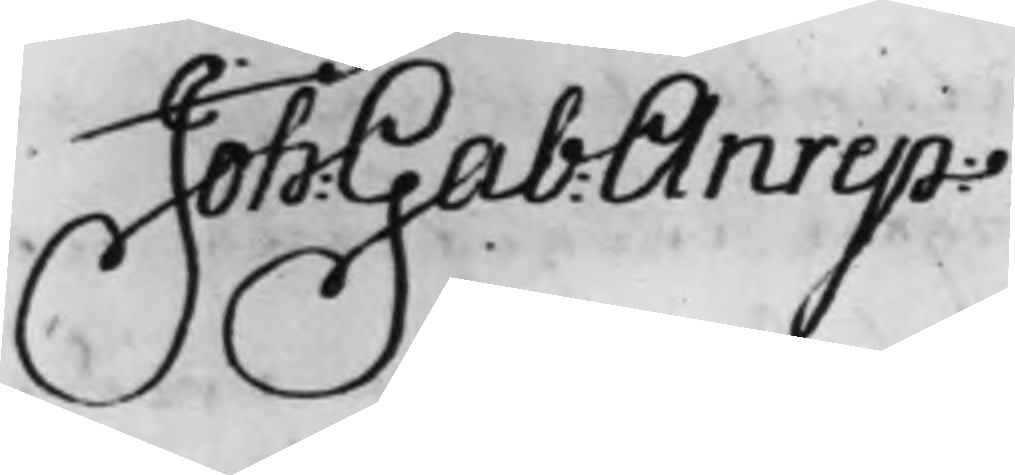Joh: Gab: Anrep
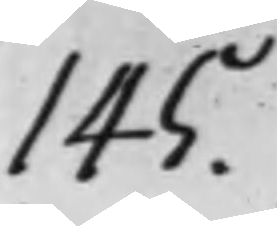145.
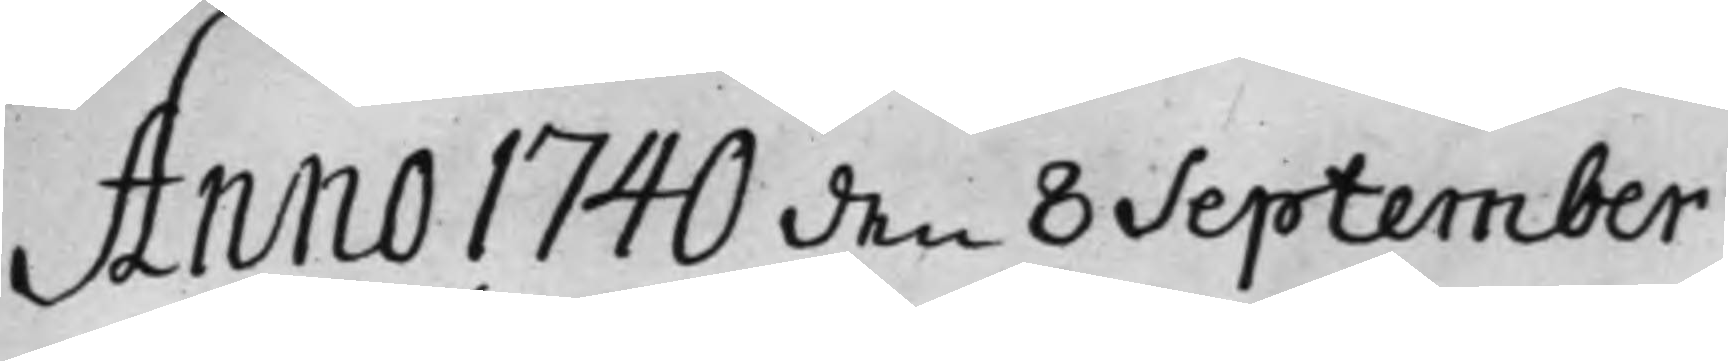Anno 1740 den 8 September
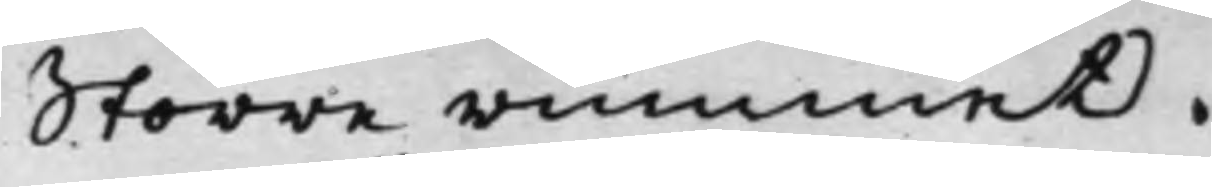Större rummet.
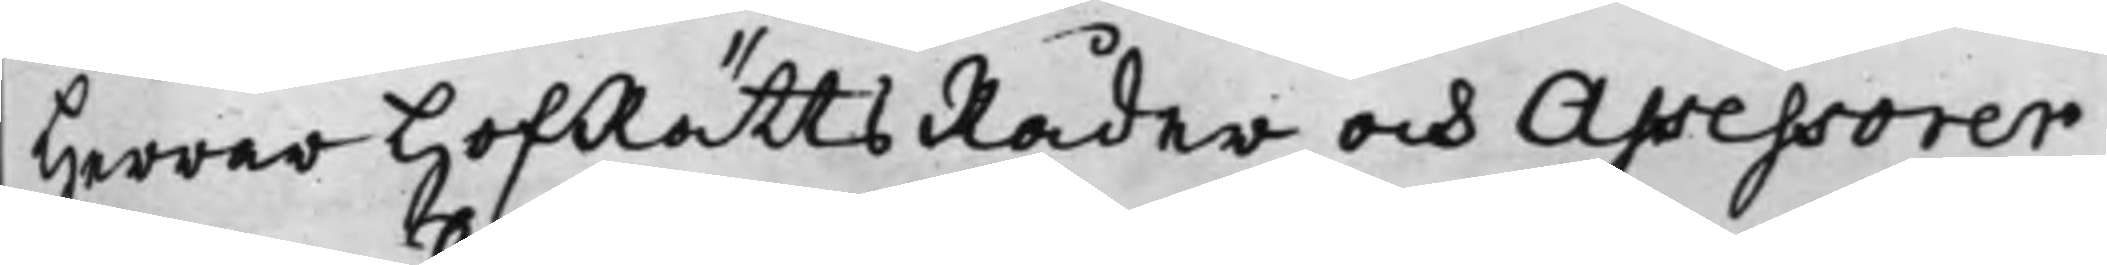Herrar HofRättsRåder och Assessorer
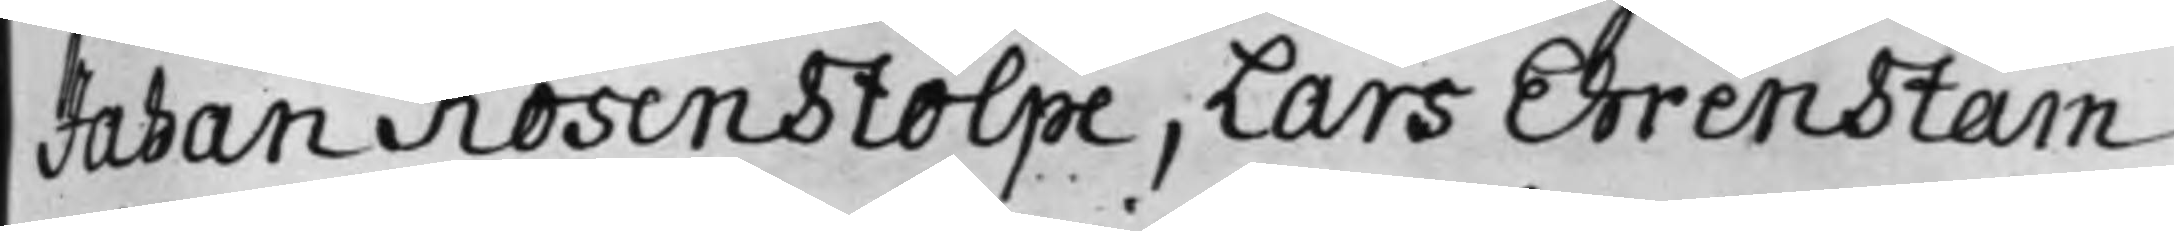Johan Rosenstolpe, Lars Ehrenstam
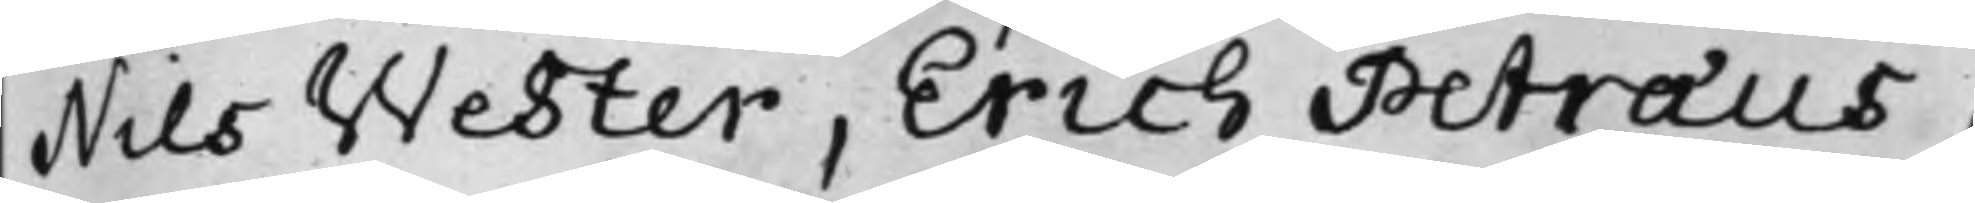Nils Wester, Erich Petræus,
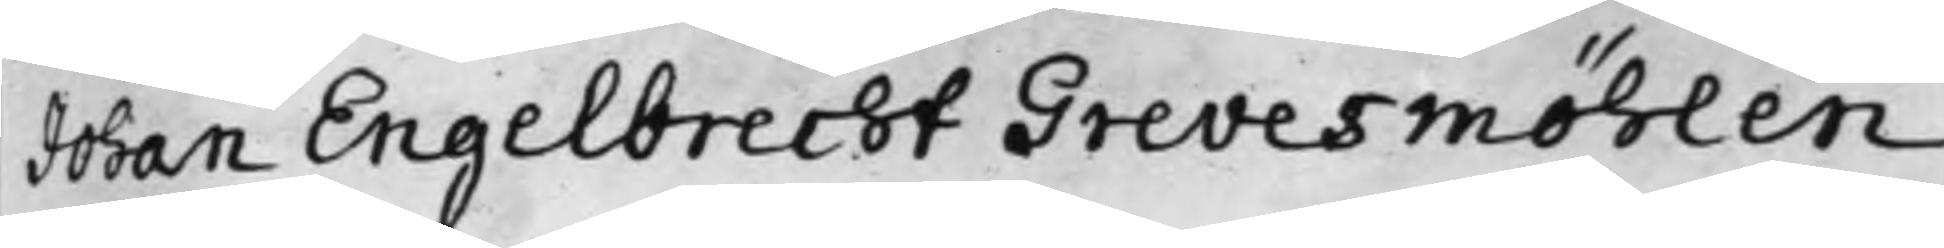Johan Engelbrecht Grevesmöhlen,
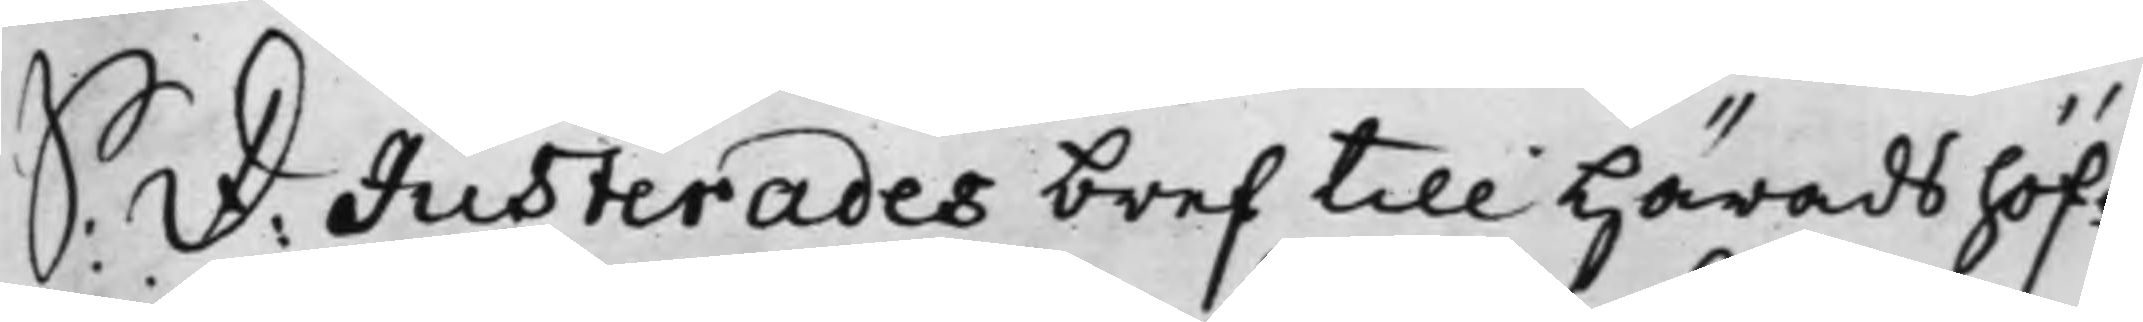S: D: Justerades bref till Häradshöf¬
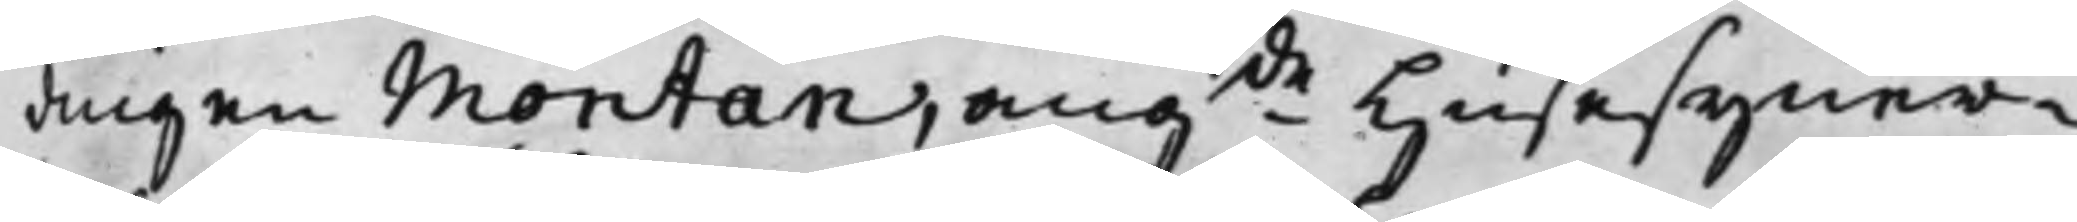dingen Montan, angde Husesyner¬
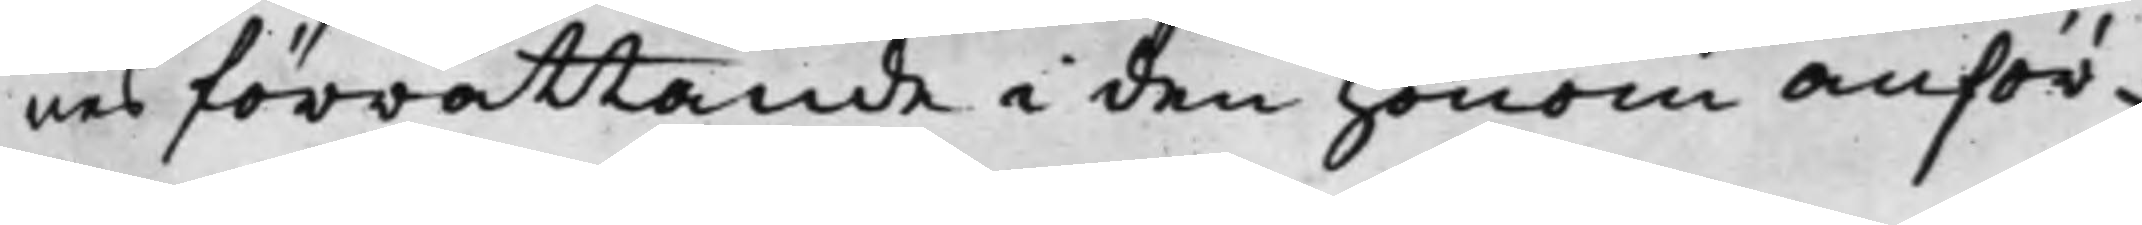nes förrättande i den honom anför¬
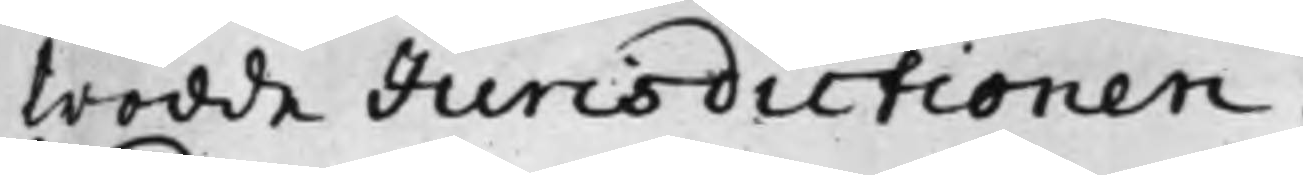trodde Jurisdictionen.
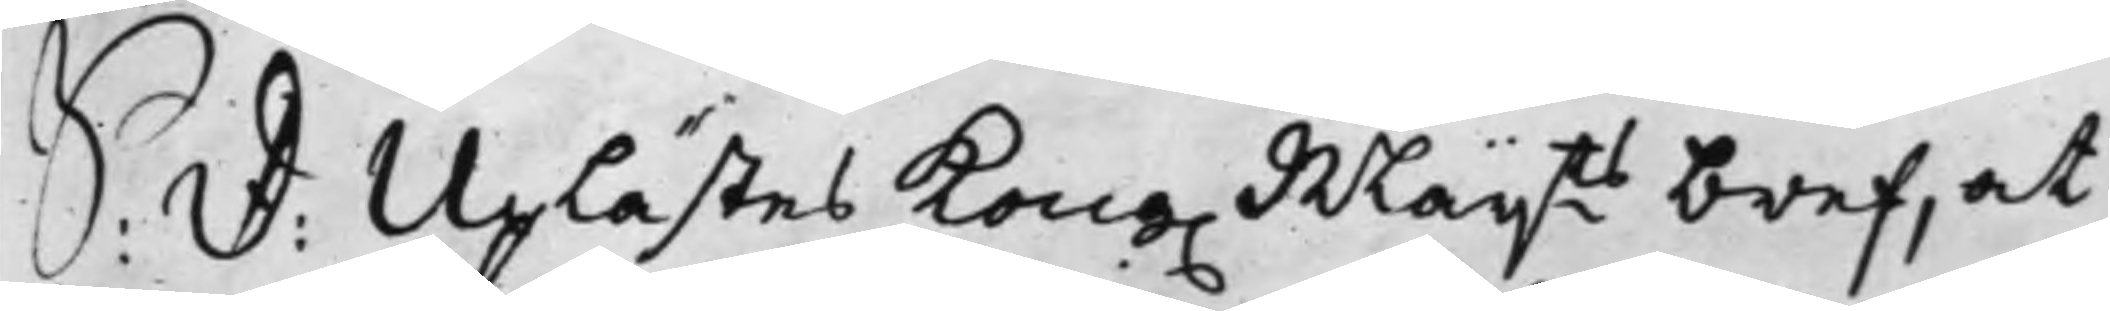S: D: Uplästes Kong. Maijts bref, at
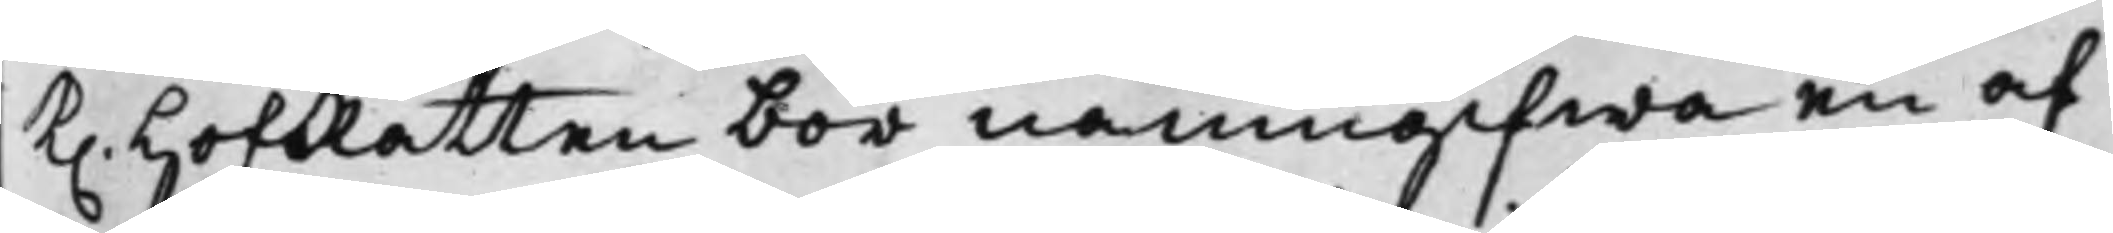K. HofRätten bör namngifwa en af
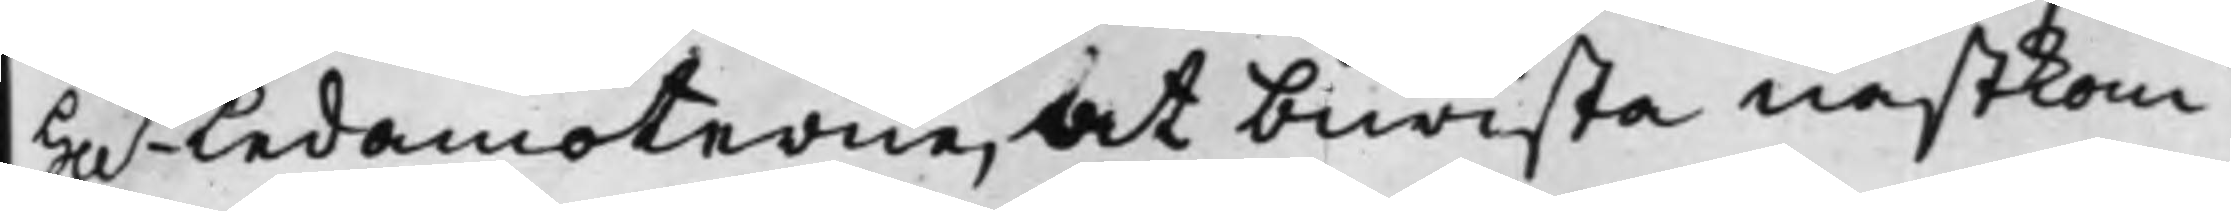Hh.r Ledamöterne, at biwista nästkom¬
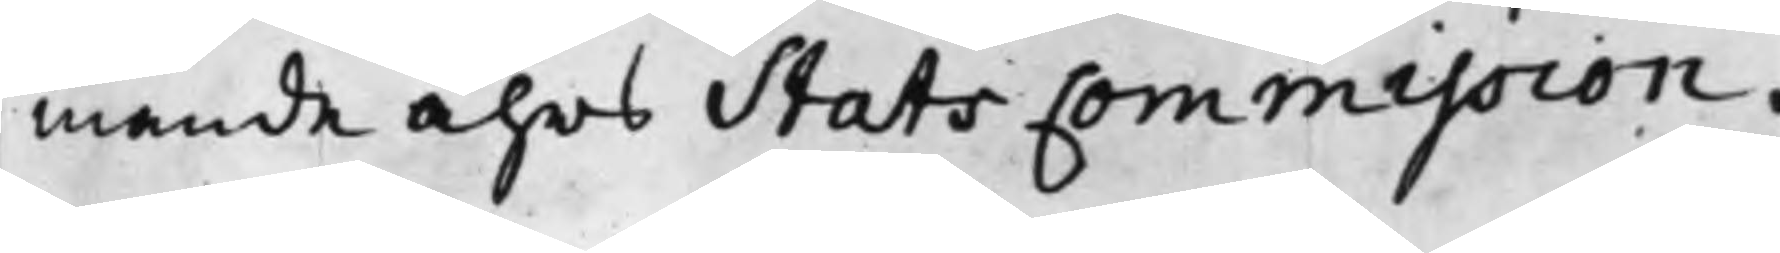mande åhrs Stats Commission.
